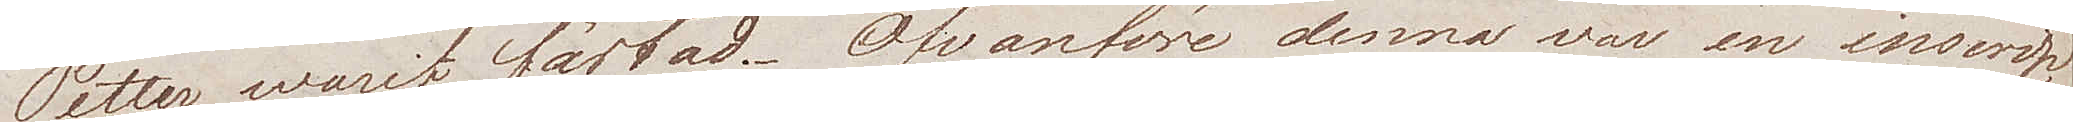Petter warit fästad. Ofvanföre denna var en inscrip¬
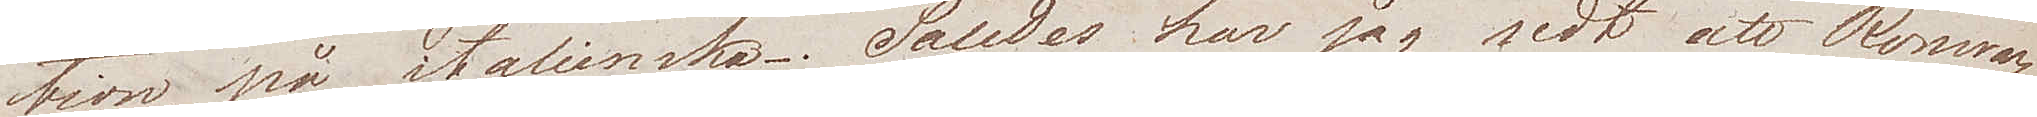tion på italienska. Således har jag sedt att Romar¬
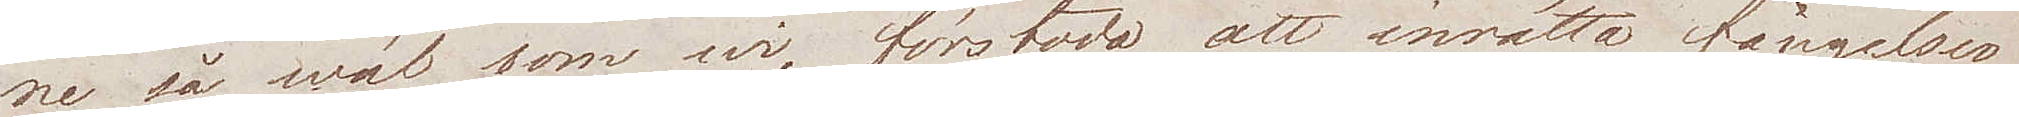ne så wäl som wi, förstodo att inrätta fängelser
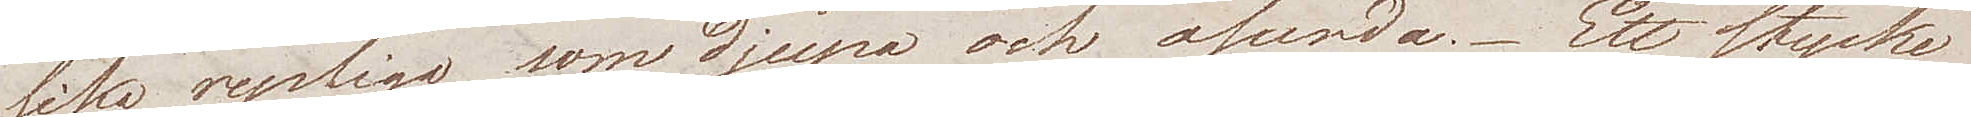lika rysliga som djupa och osunda. Ett stycke
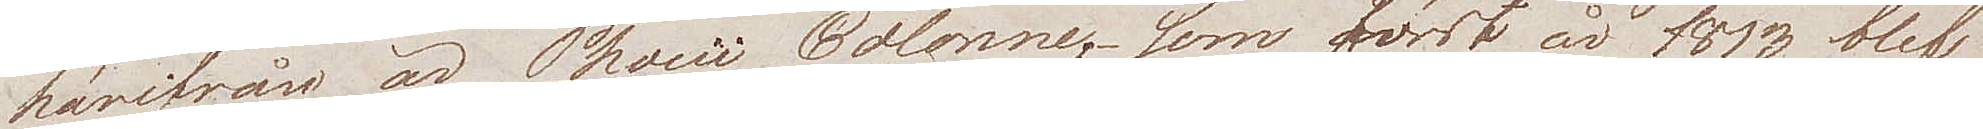härifrån är Phoeii Colonne, som först år 1813 blef
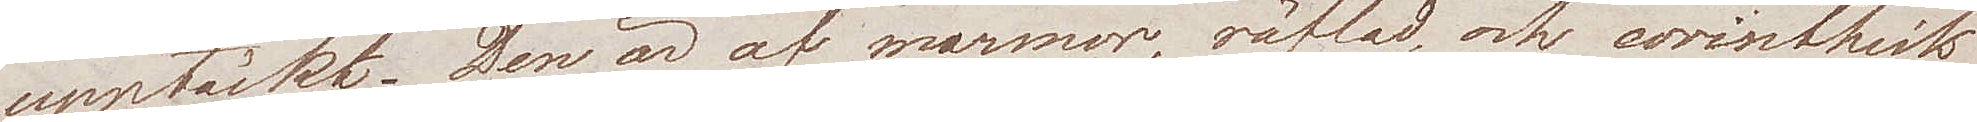upptäckt. Den är af marmor, räfflad och corinthisk
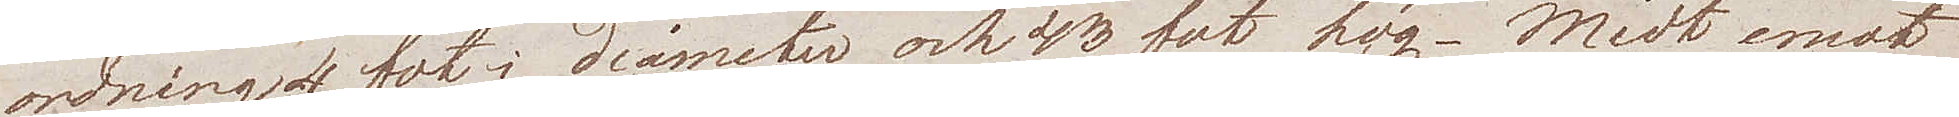ordning 4 fot i diameter och 43 fot hög. Midt emot
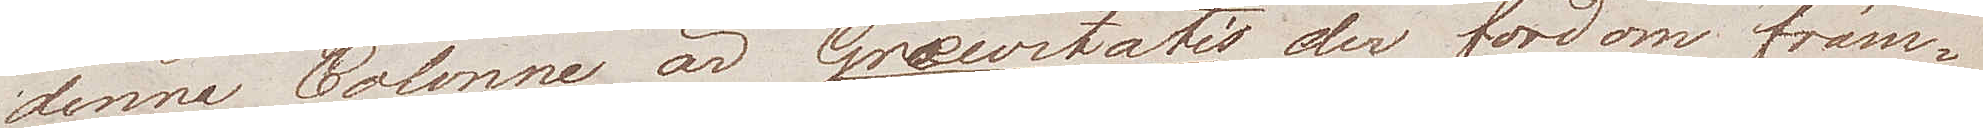denna Colonne är Grævitatis der fordom främ¬
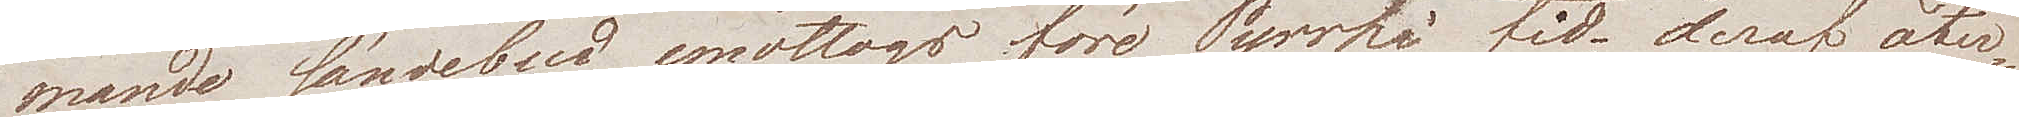mande sändebud emottogos före Pyrrhi tid; deraf åter¬
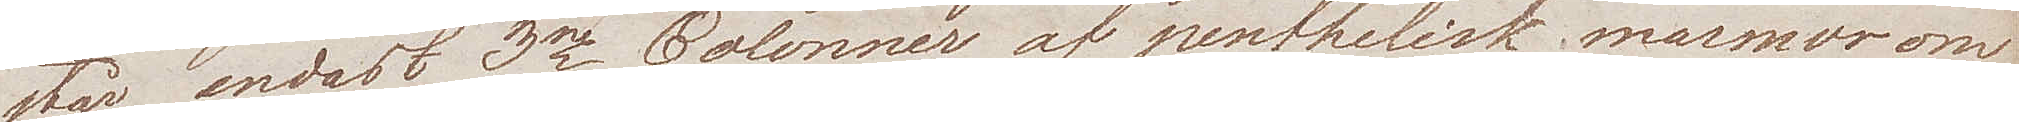står endast 3ne Colonner af penthelisk marmor om
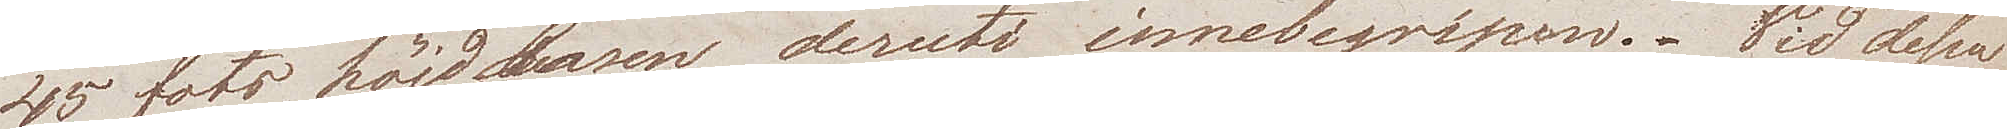45 fots höjd, basen deruti innebegripen. Vid dessa
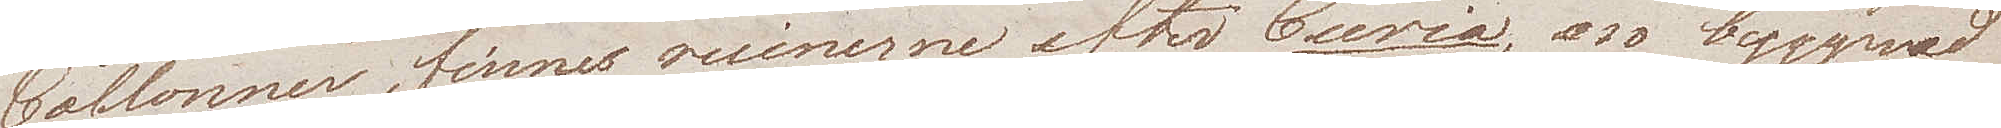Collonner, finnes ruinerne efter Curia, en byggnad
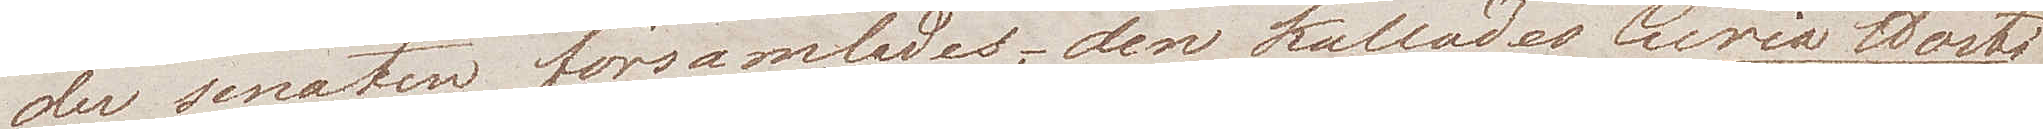der senaten församlades, den kallades Curia Hosti¬
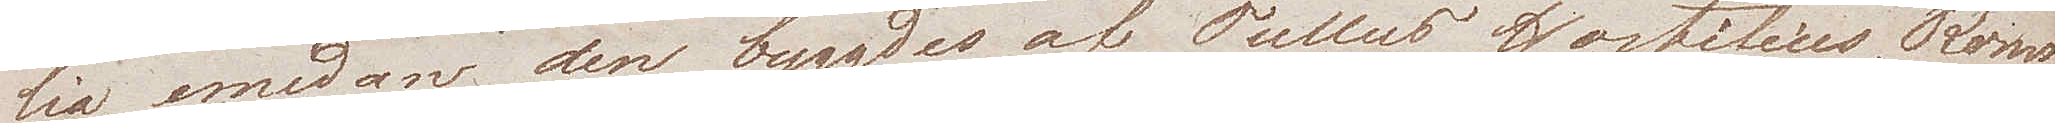lia, emedan den byggdes af Tullus Hostilius, Roms 
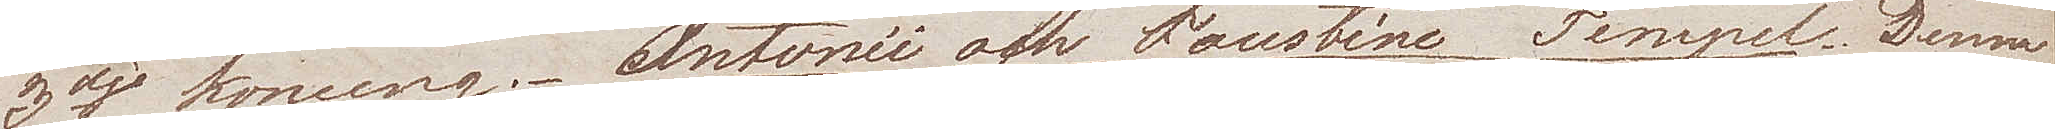3dje konung. Antonii och Faustine Tempel. Denna
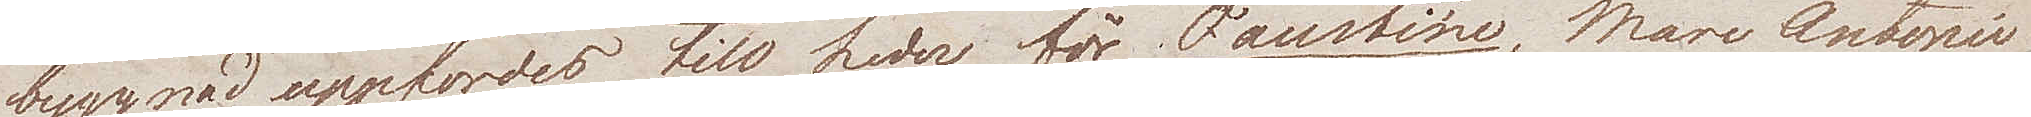byggnad uppfördes till heder för Faustine, Marc Antonii
